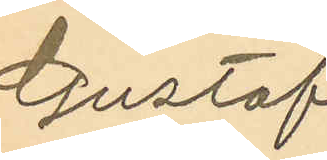Gustaf
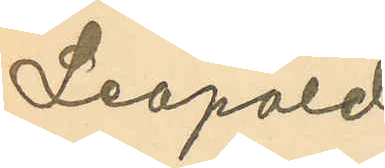Leopold
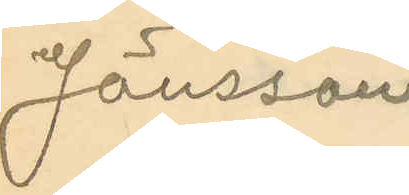Jönsson
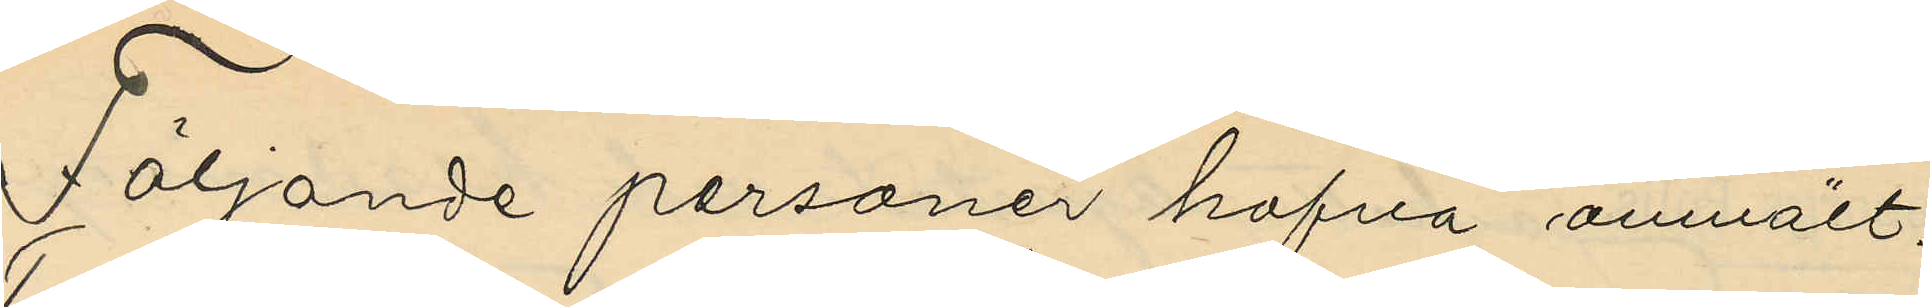Följande personer hafva anmält:
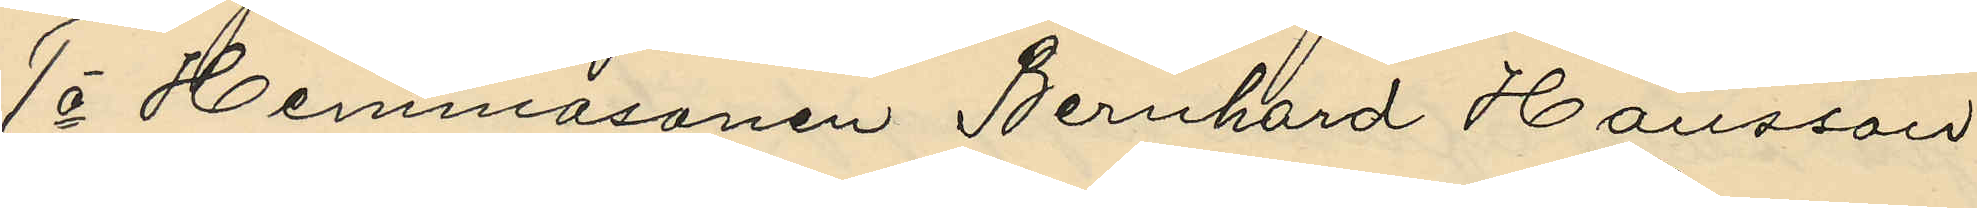1o Hemmasonen Bernhard Hansson
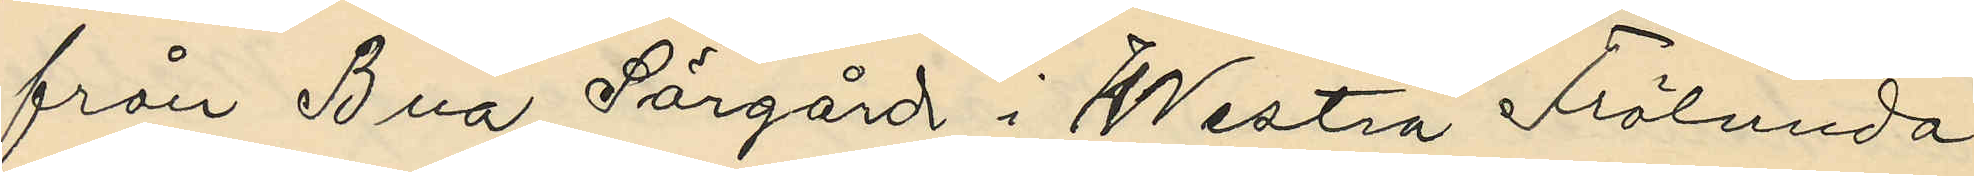från Bua Sörgård i Westra Frölunda
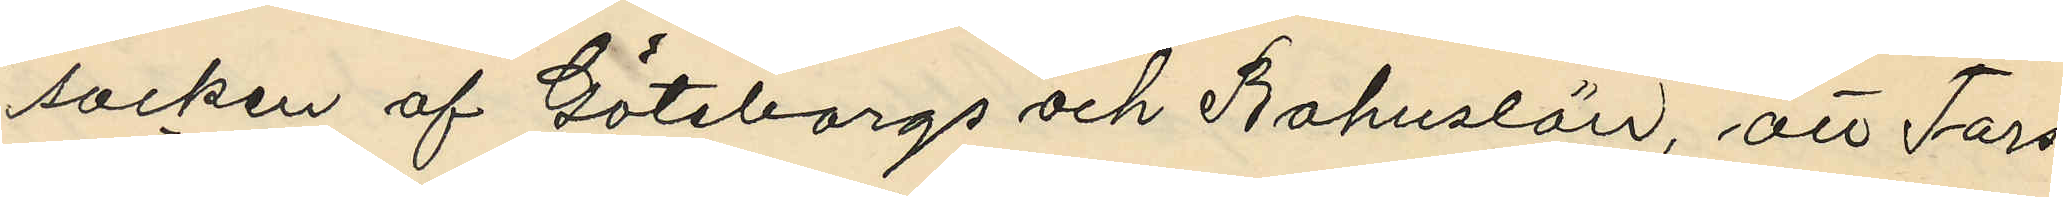socken af Göteborgs och Bohuslän, att Tors¬
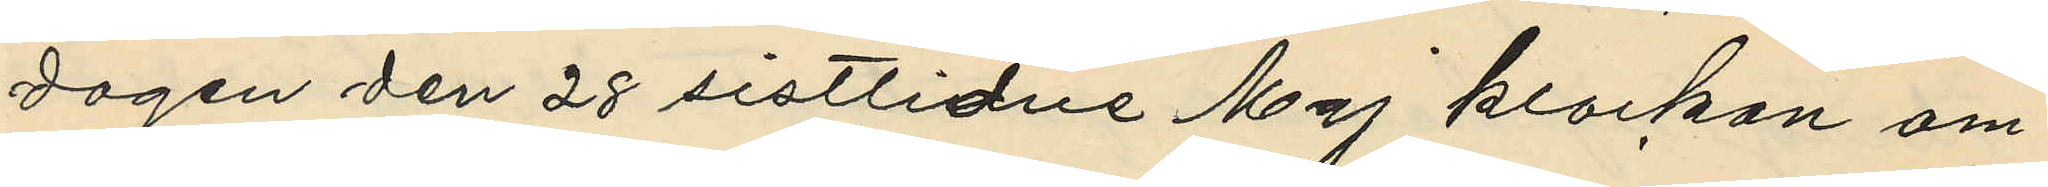dagen den 28 sistlidne Maj klockan om¬
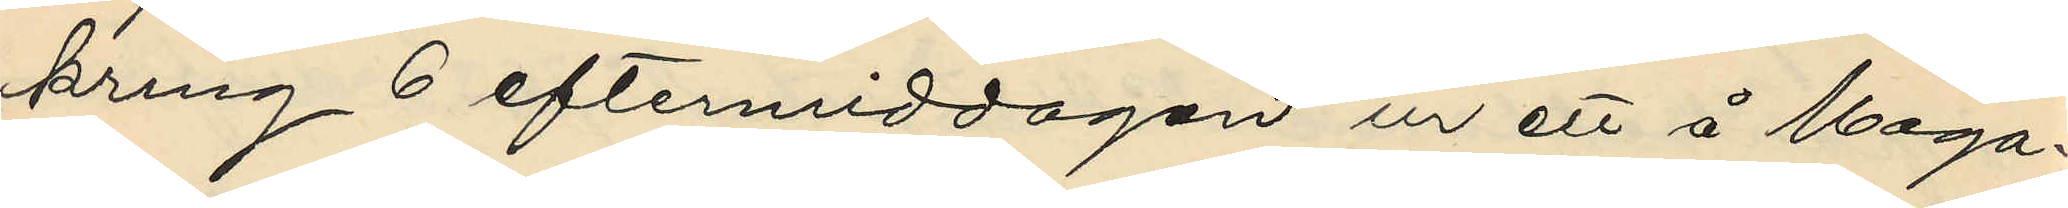kring 6 eftermiddagen ur ett å Maga¬
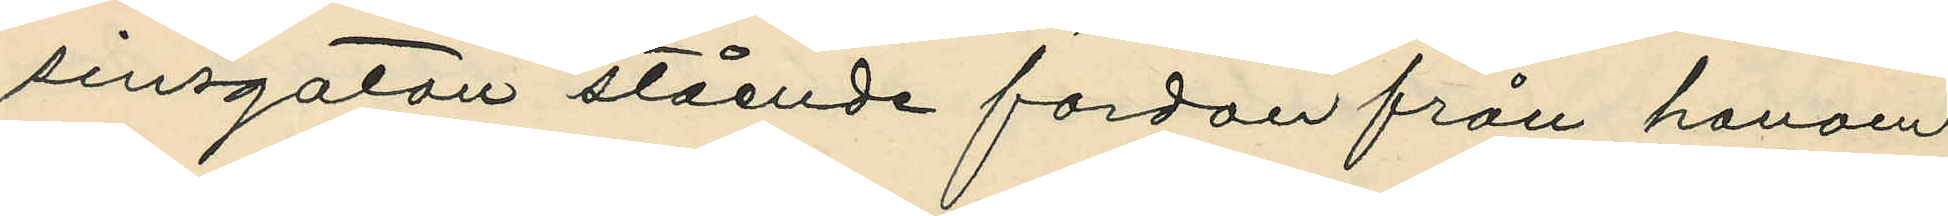sinsgatan stående fordan från honom
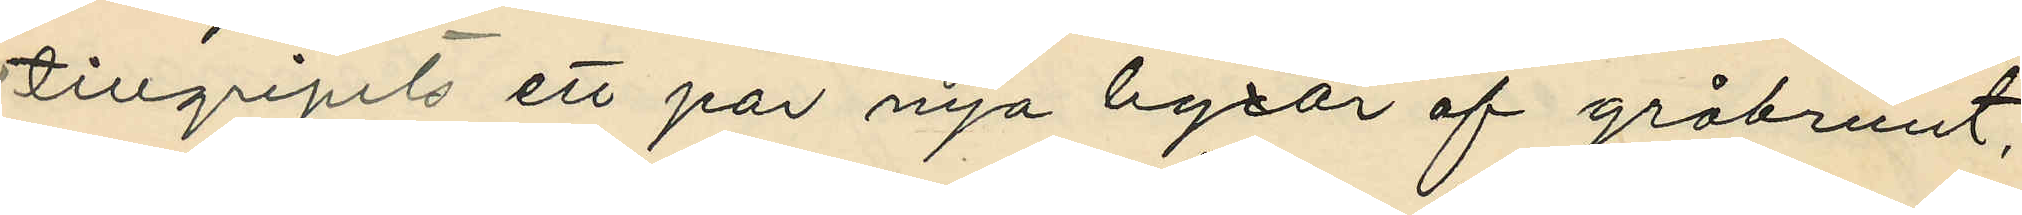tillgripits ett par nya byxor af gråbrunt,
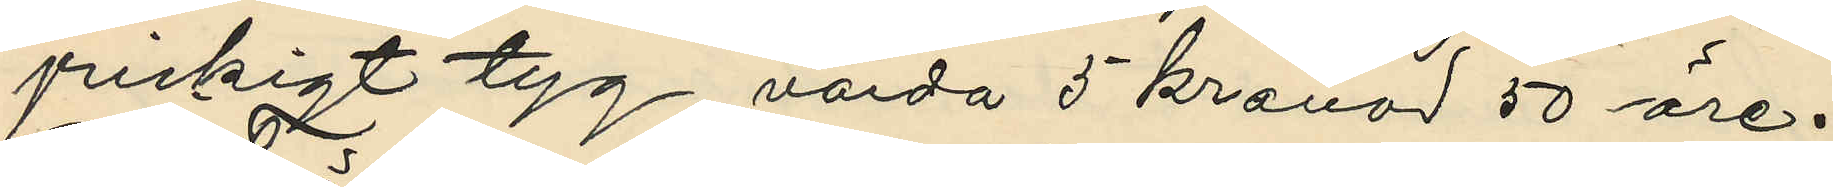prickigt tyg värda 5 kronor 50 öre.
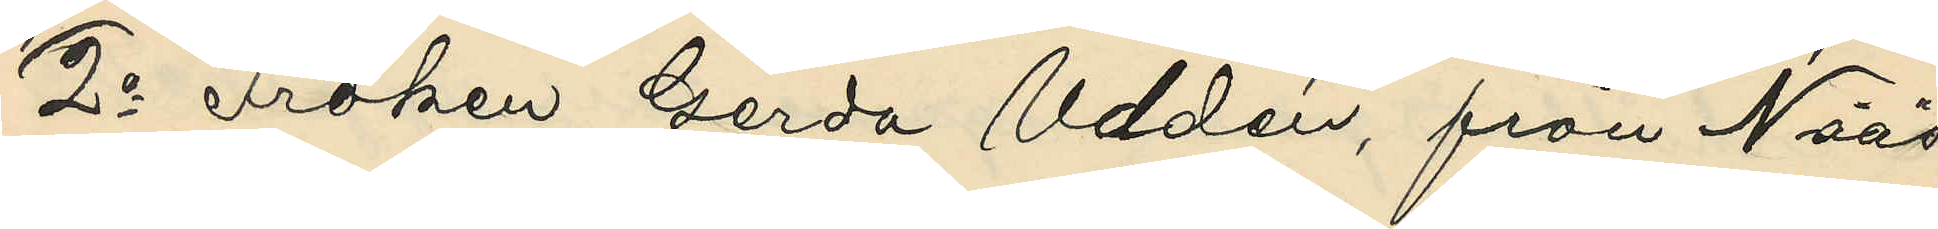2o Fröken Gerda Uddén, från Nääs
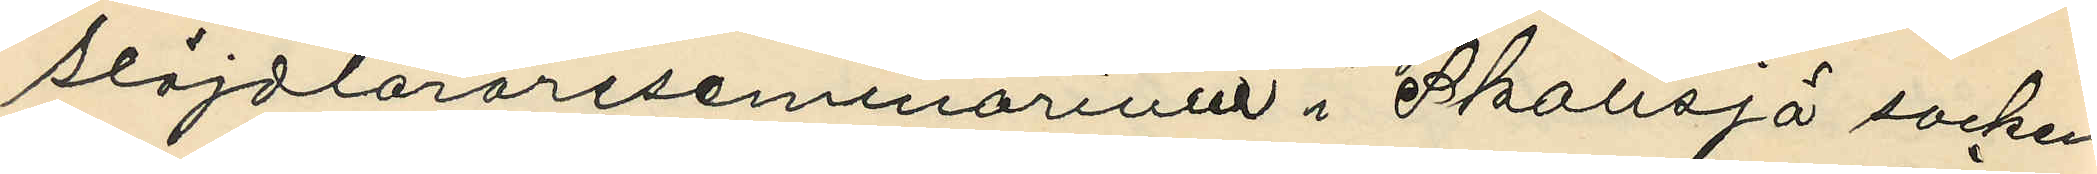slöjdlärareseminarium i Skallsjö socken
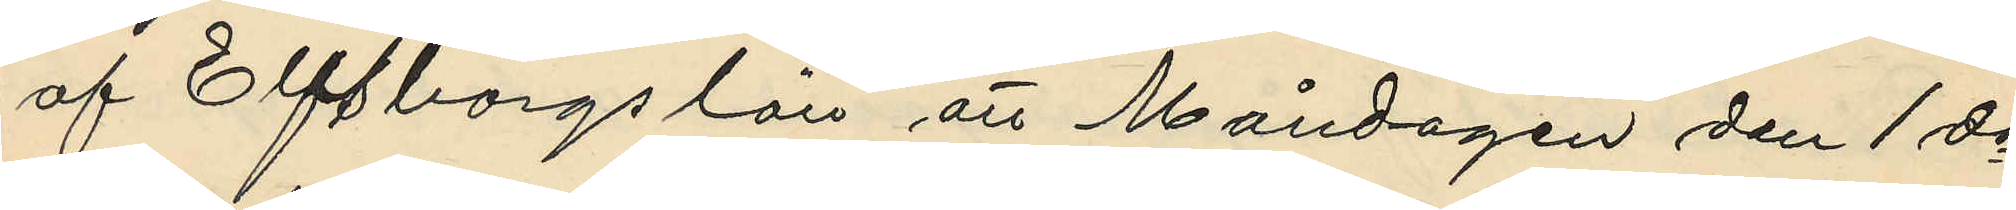af Elfsborgs län att Måndagen den 1 ds
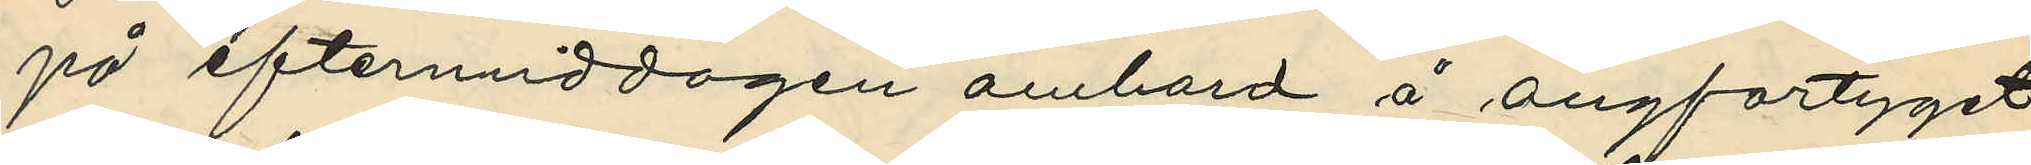på eftermiddagen ombord å ångfartyget
